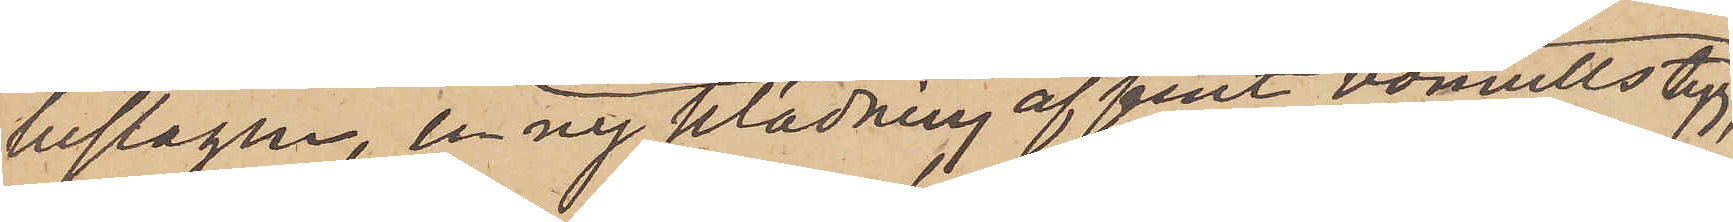beslagen, en ny klädning af fint bomullstyg,
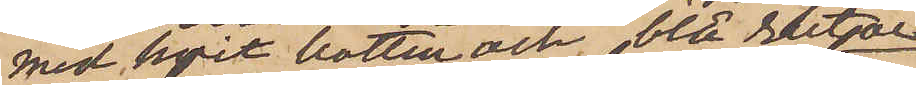med hvit botten och blå rutor
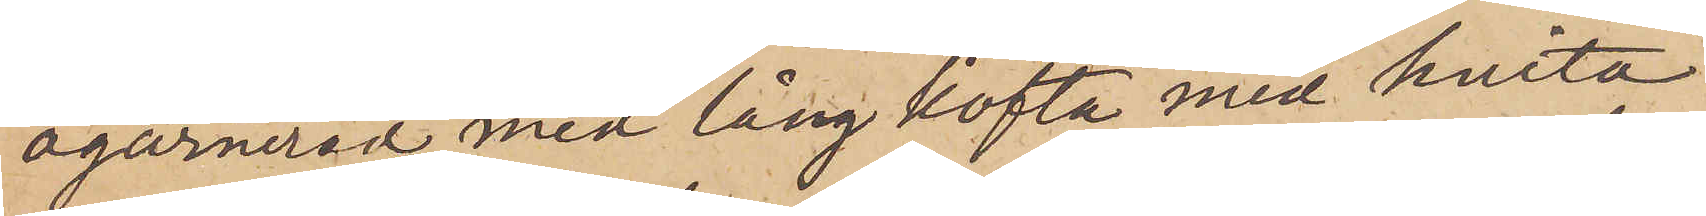ogarnerad; med lång kofta med hvita
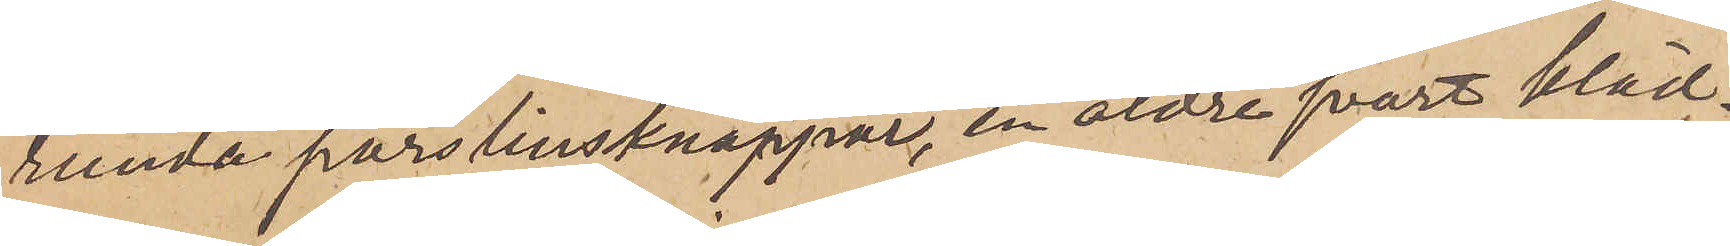runda porslinsknappar, en äldre svart kläd¬
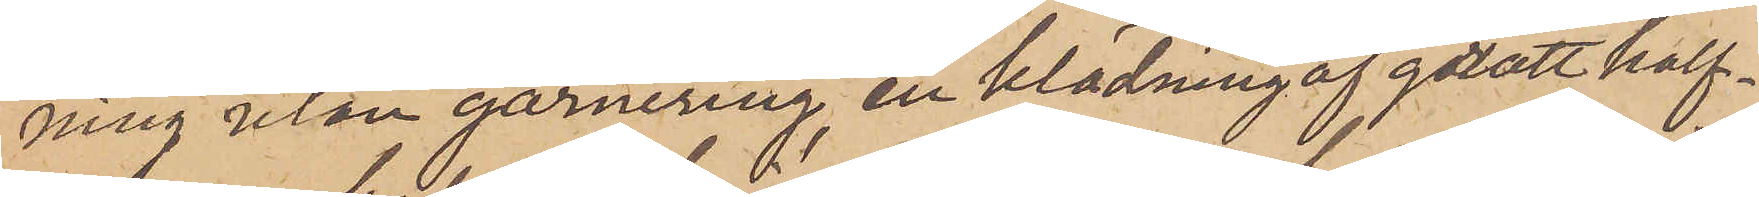ning utan garnering, en klädning af grått half¬
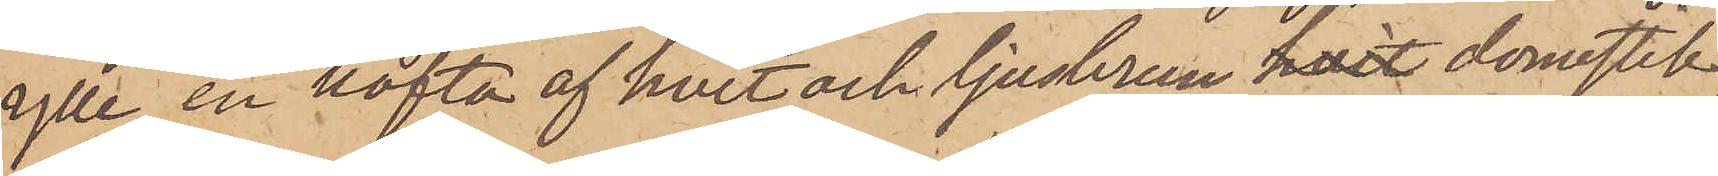ylle, en kofta af hvit och ljusbrun hvit domestik,
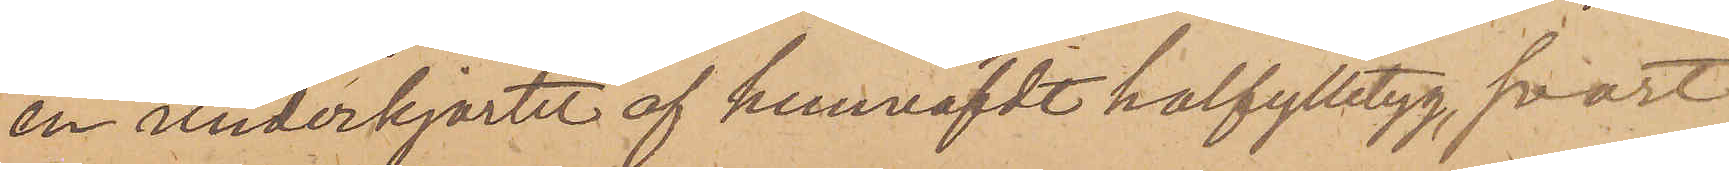en underkjortel af hemväfdt halfylletyg, svart
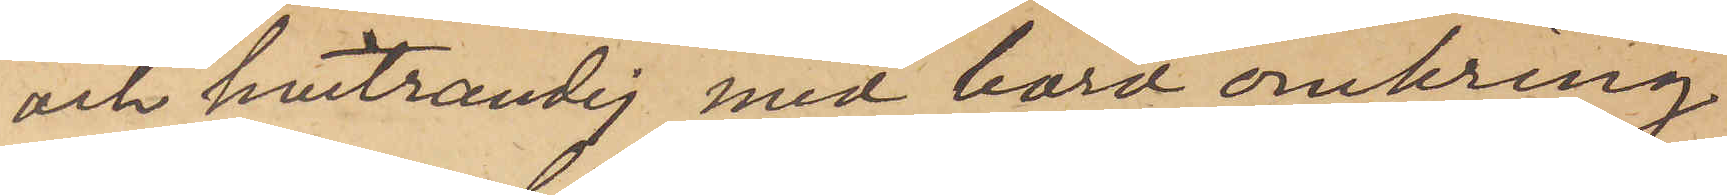och hvitrandig med bord omkring
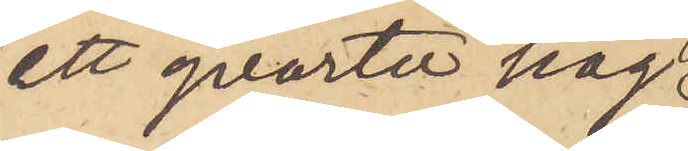ett qvarter hög
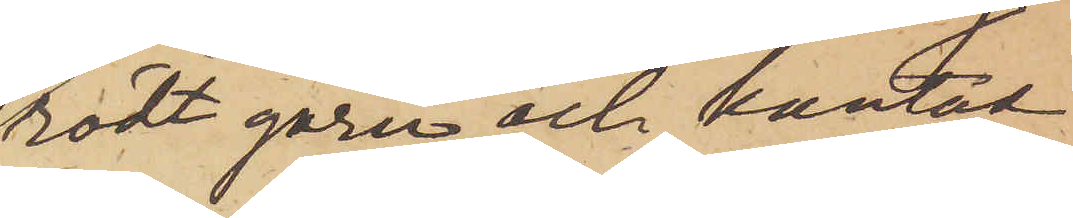rödt garn och kantat
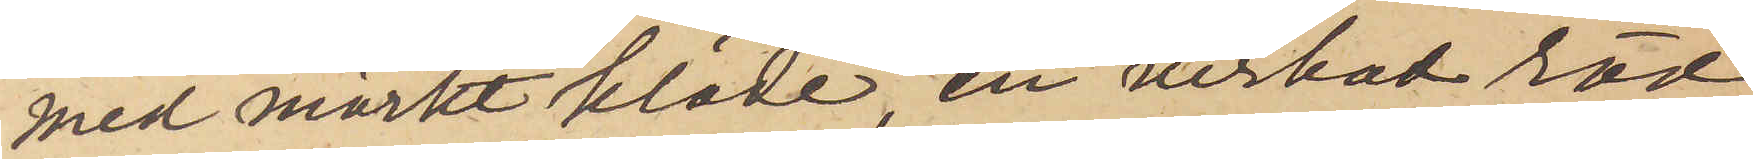med mörkt kläde, en virkad röd
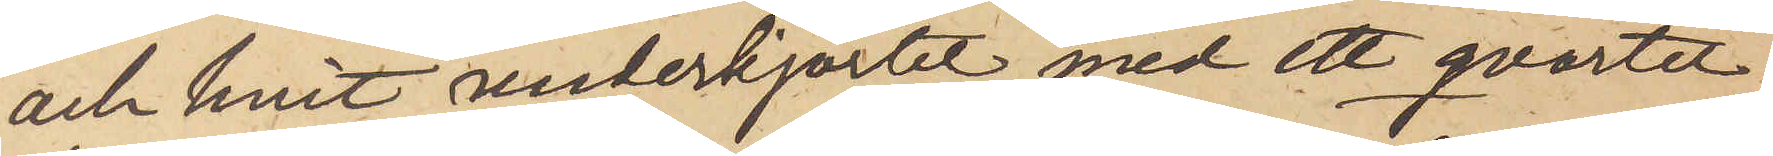och hvit underkjortel med ett qvarter
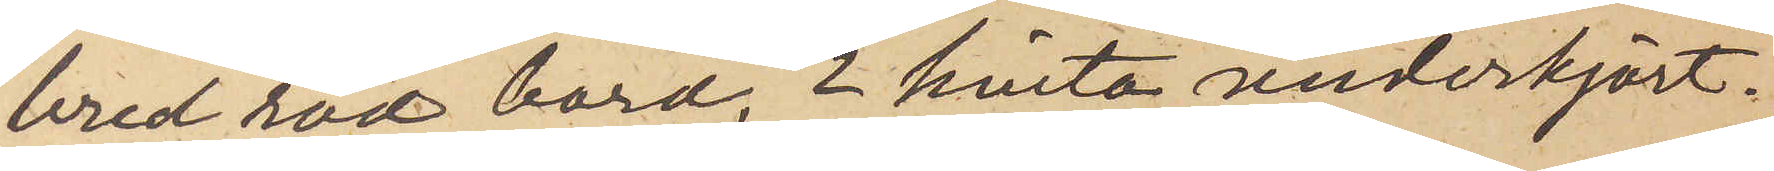bred röd bord, 2 hvita underkjort¬
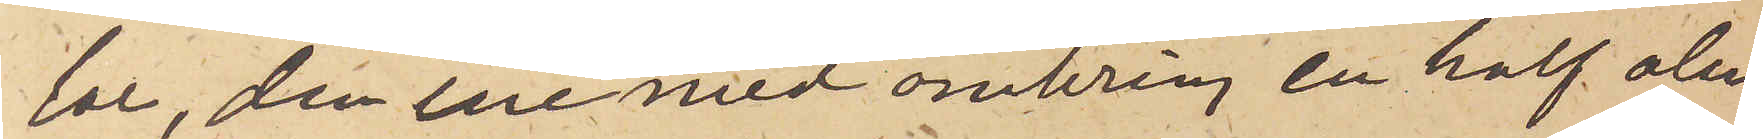lar, den ene med omkring en half aln
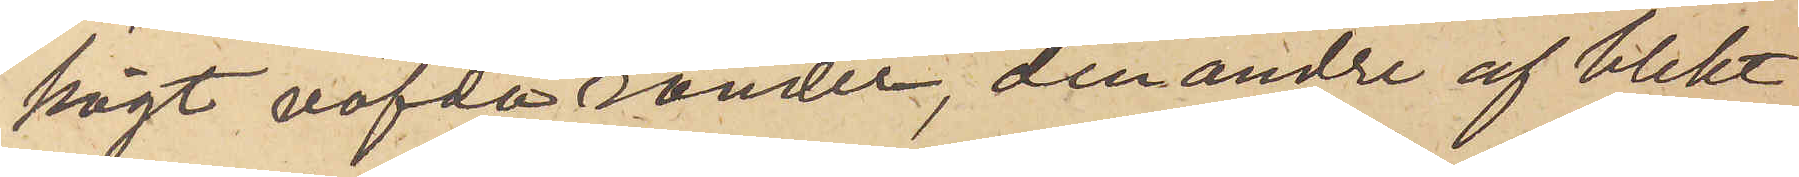högt väfda ränder, den andre af blekt
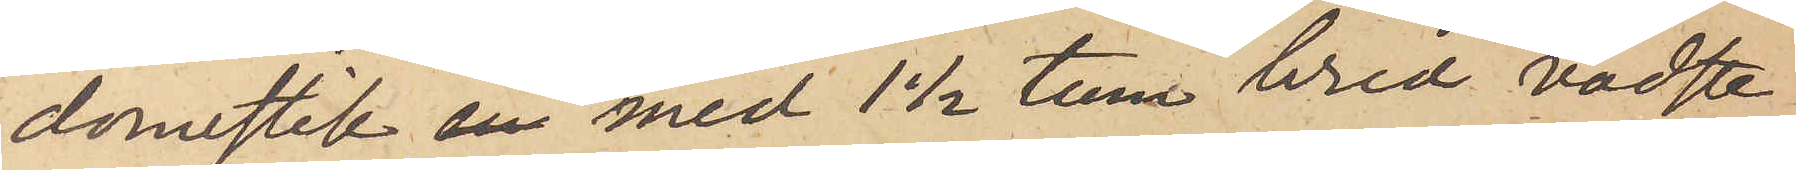domestik en med 1 1/2 tum bred vadste¬
